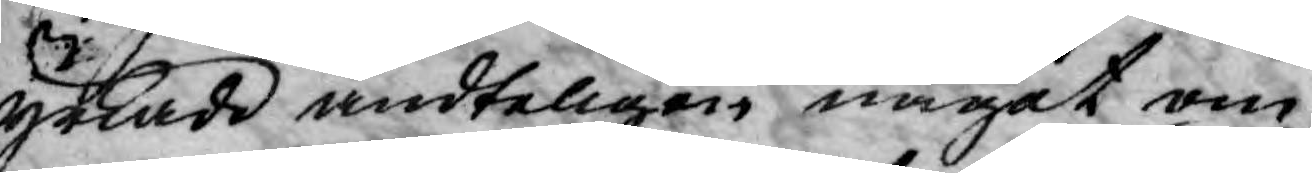yttrade andteligen något om
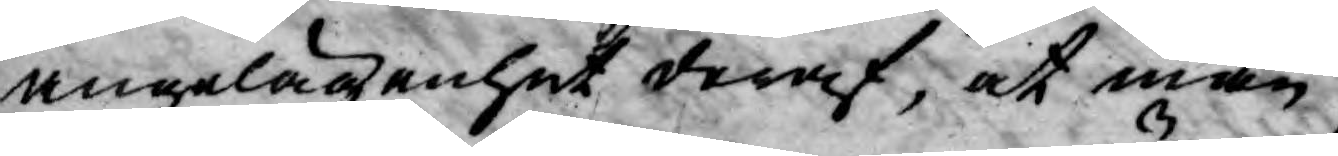angelägenhet deraf, at man
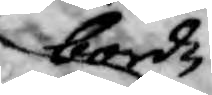borde
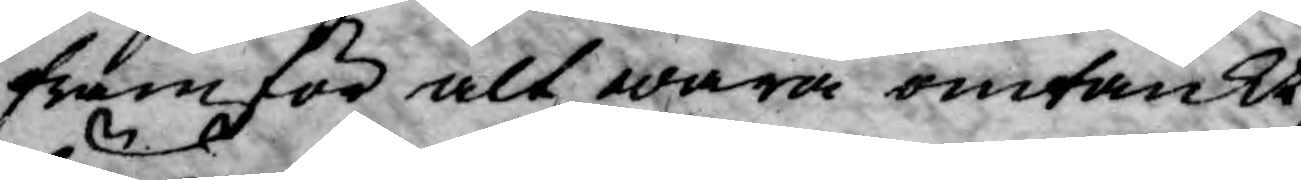framför alt wara omtänkt
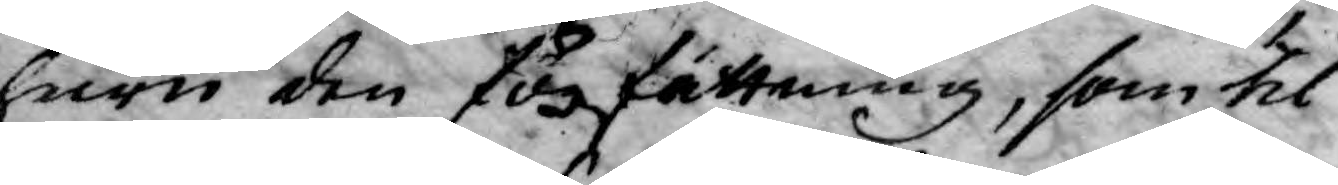huru den författning, som til
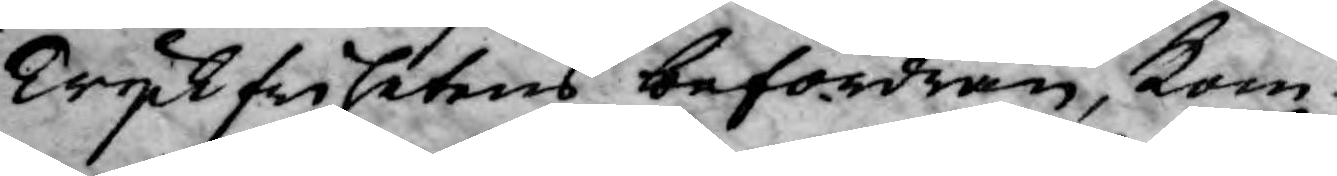Tyckfrihetens befordran, kom¬
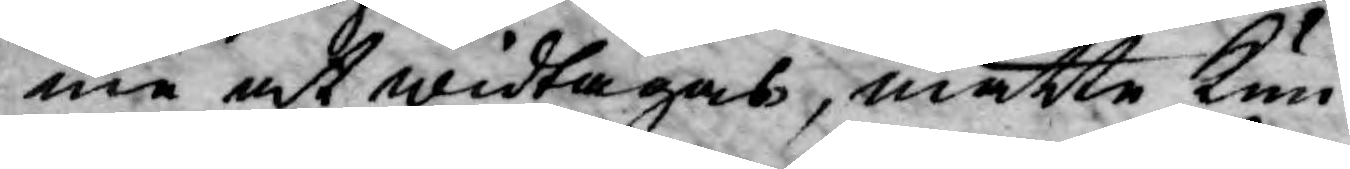me at widtagas, måtte kun¬
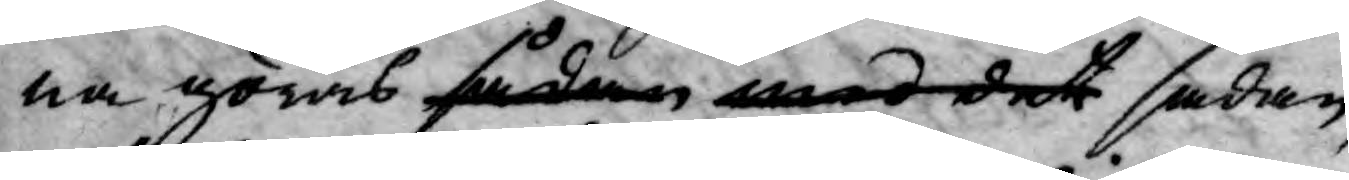na göras sådan med det sådan,
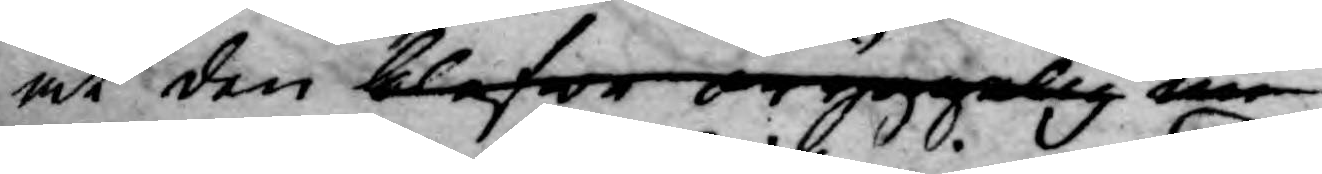at den blefwe oryggelig em
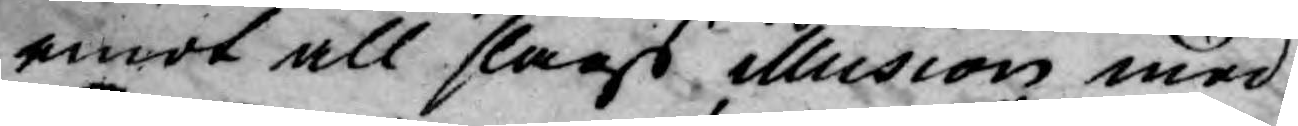emot all slags illusion med¬
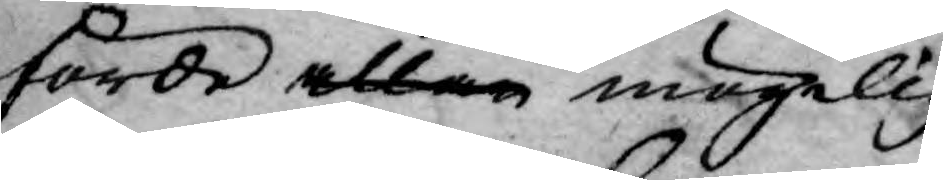förde allan mögelig¬
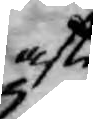aste
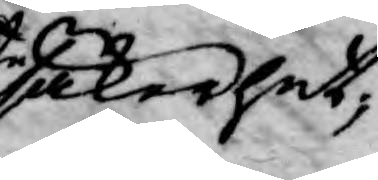säkerhet,
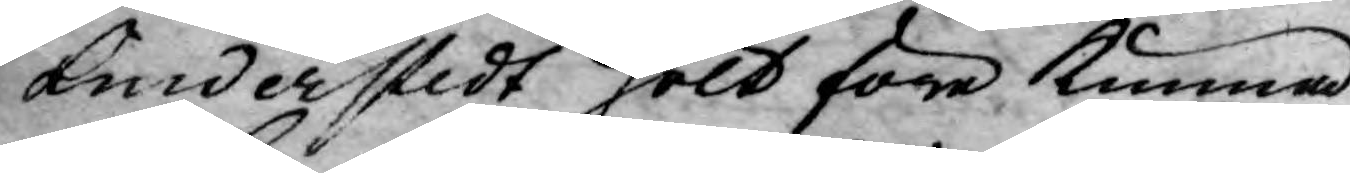Linderstedt hölt före kunna
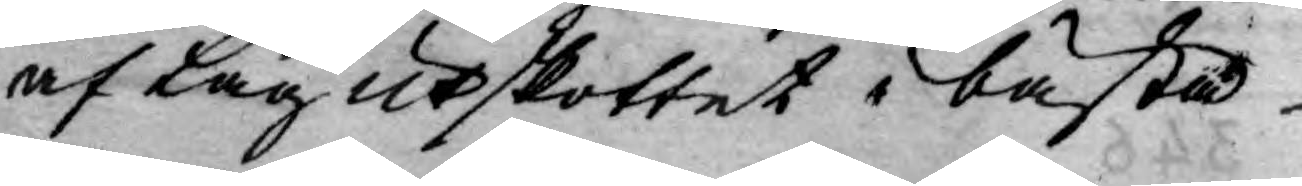af Lag utskottet i bästa
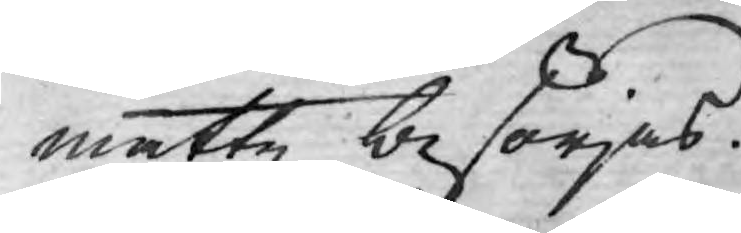måtte besörjas.
